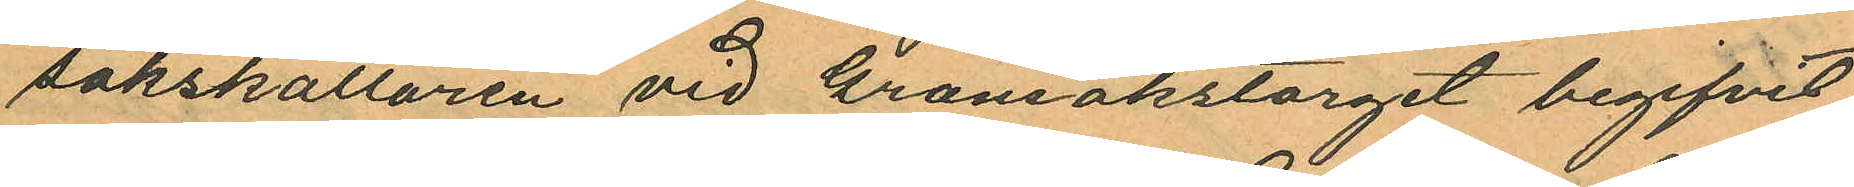sakskällaren vid Grönsakstorget begifvit
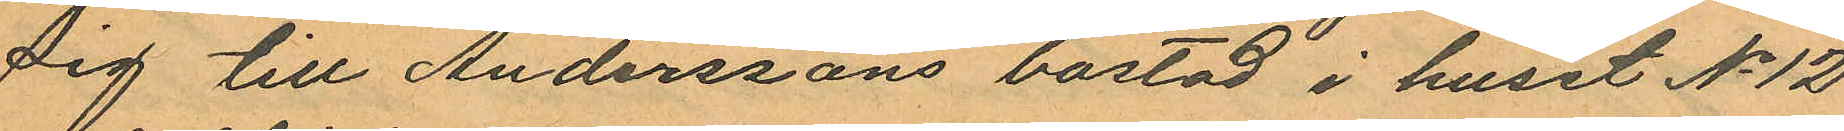sig till Anderssons bostad i huset No 12
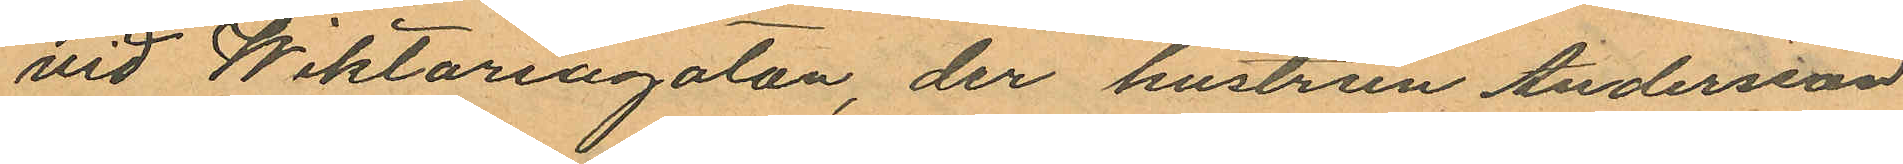vid Wiktoriagatan, der hustrun Andersson
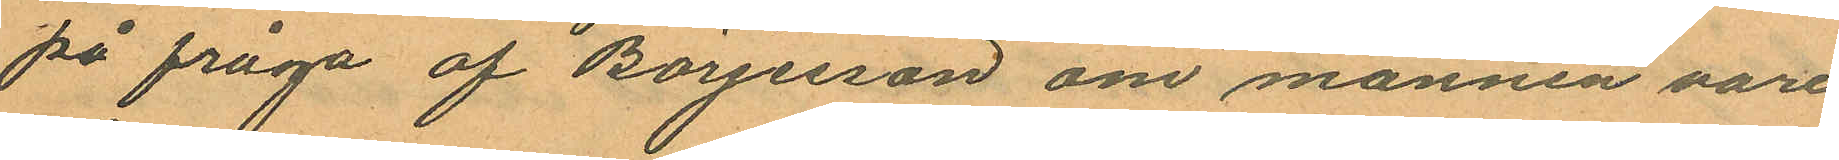på fråga af Börjesson om mannen vore
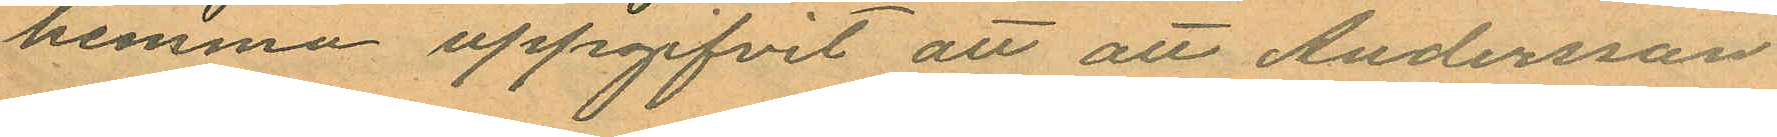hemma uppgifvit att att Andersson
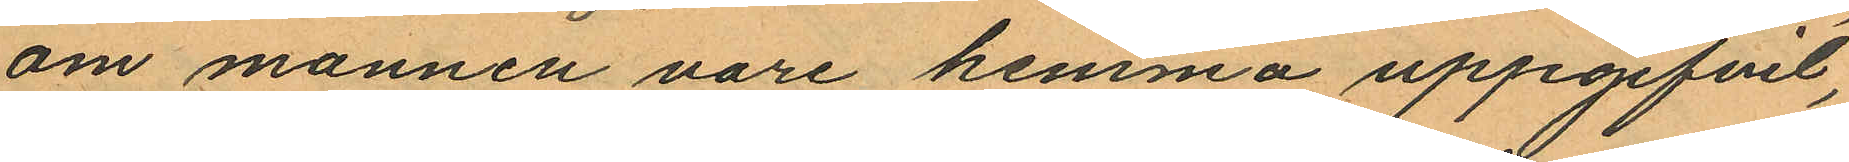om mannen vore hemma uppgifvit,
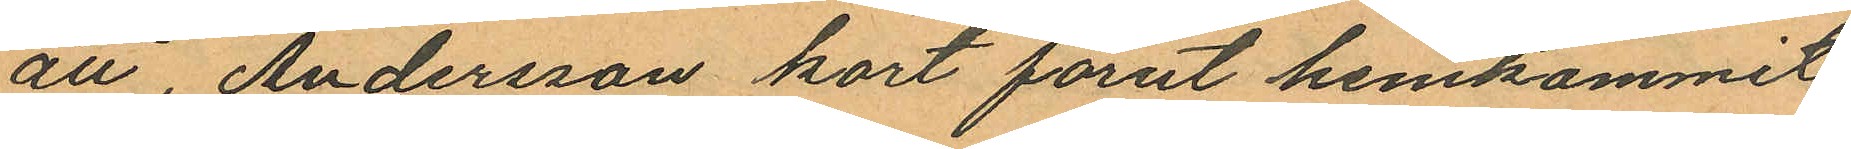att, Andersson kort förut hemkommit
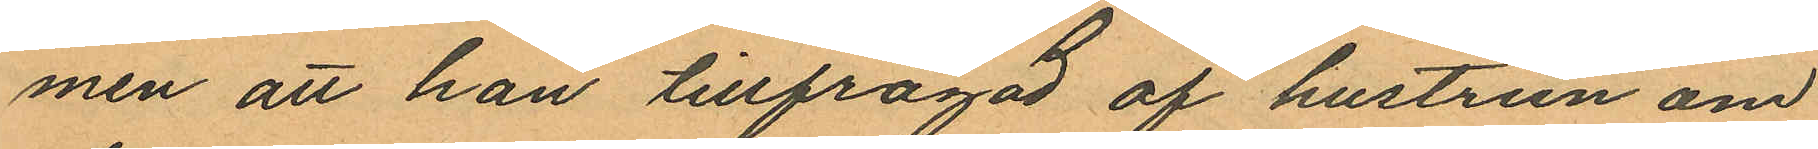men att han tillfrågad af hustrun om
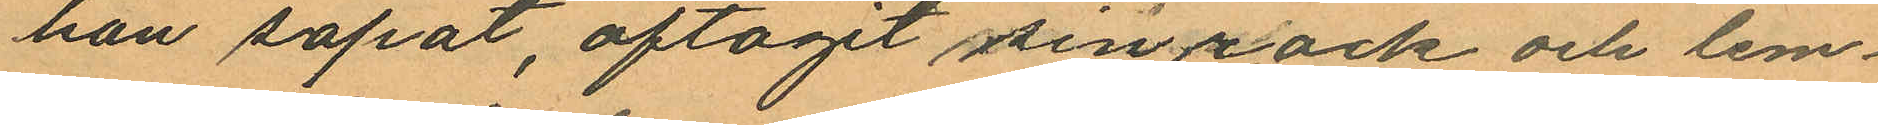han sopat, aftagit sin rock och lem¬
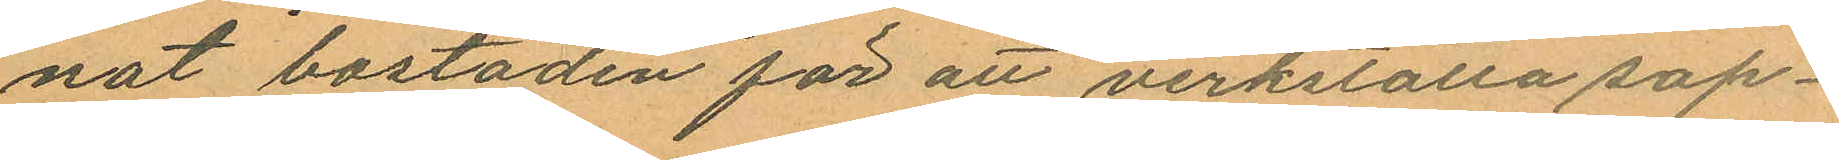nat bostaden för att verkställa sop¬
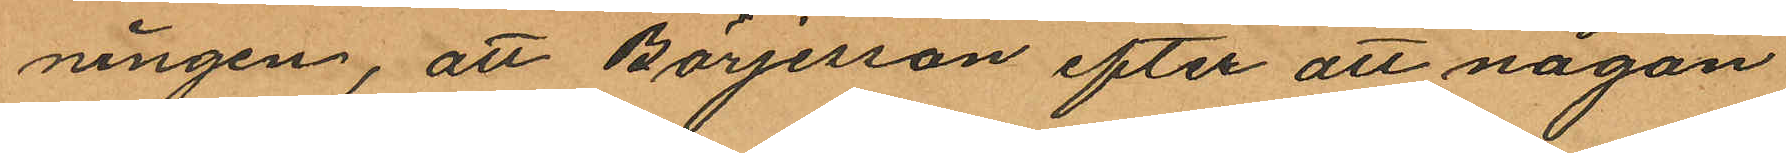ningen, att Börjesson efter att någon
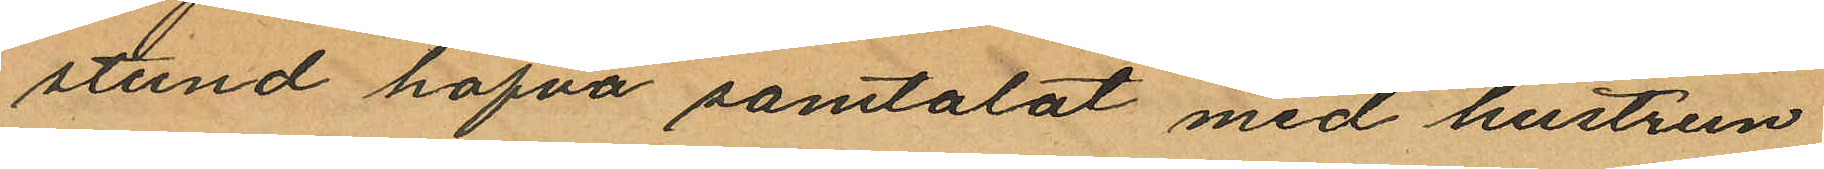stund hafva samtalat med hustrun
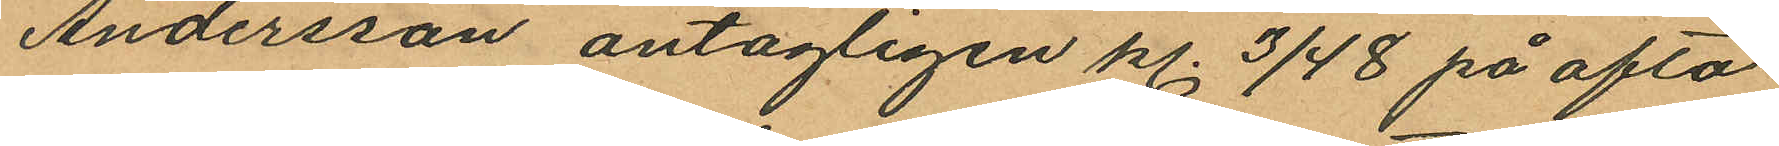Andersson antagligen kl. 3/4 8 på afto¬
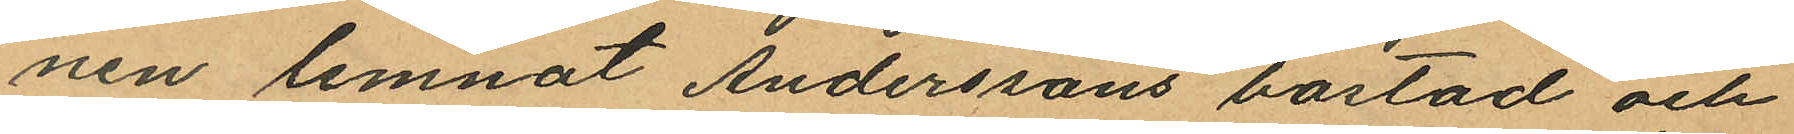nen lemnat Anderssons bostad och
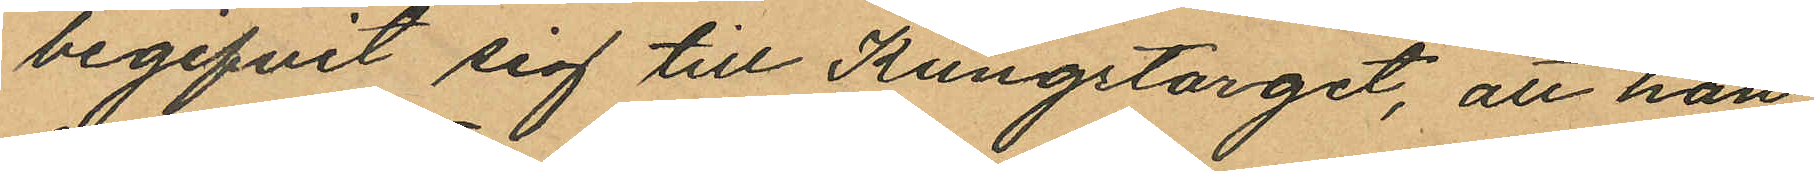begifvit sig till Kungstorget, att han
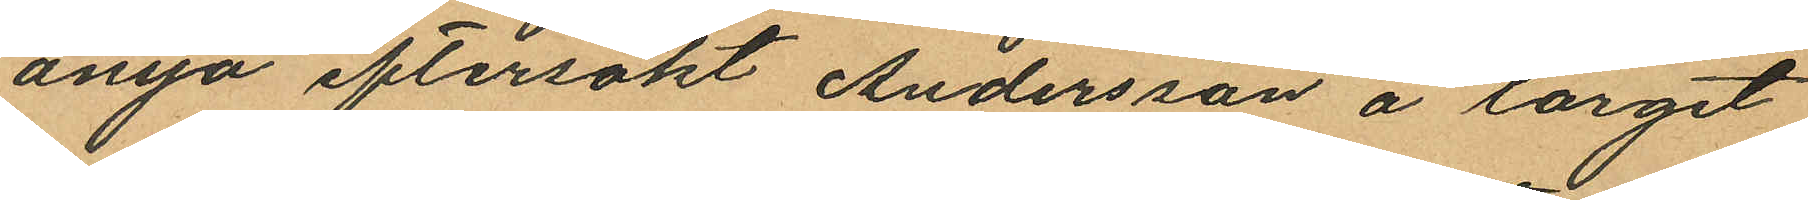ånyo eftersökt Andersson å torget
